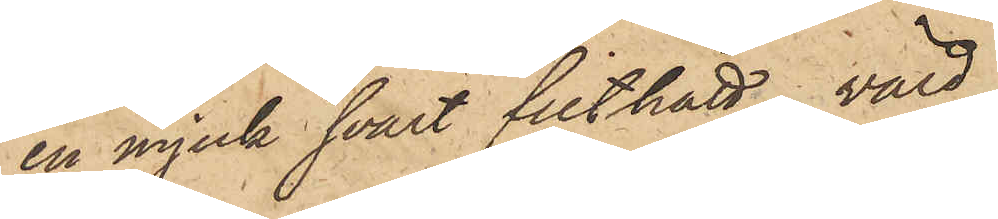en mjuk svart filthatt, värd
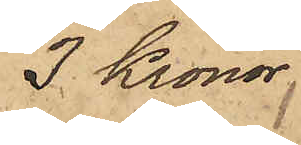3 Kronor.
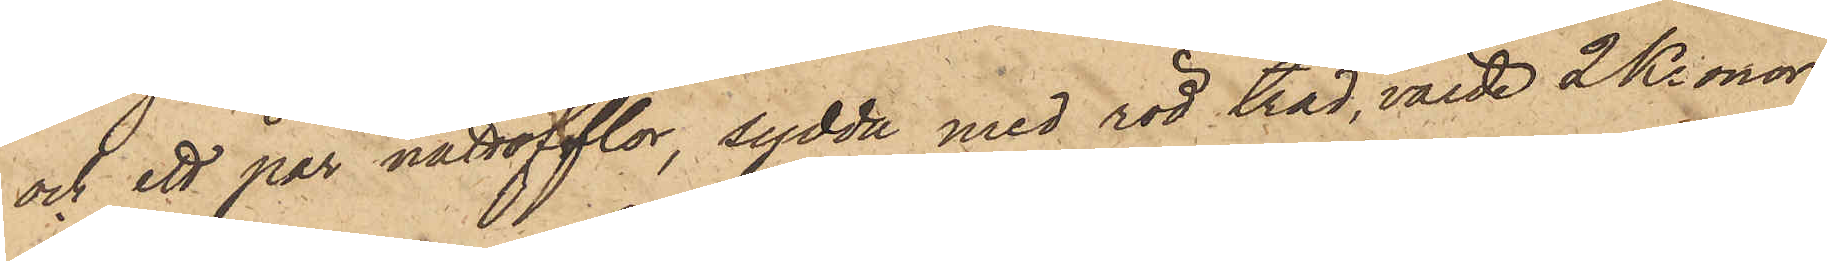och ett par nattofflor, sydda med röd tråd, värde 2 Kronor,
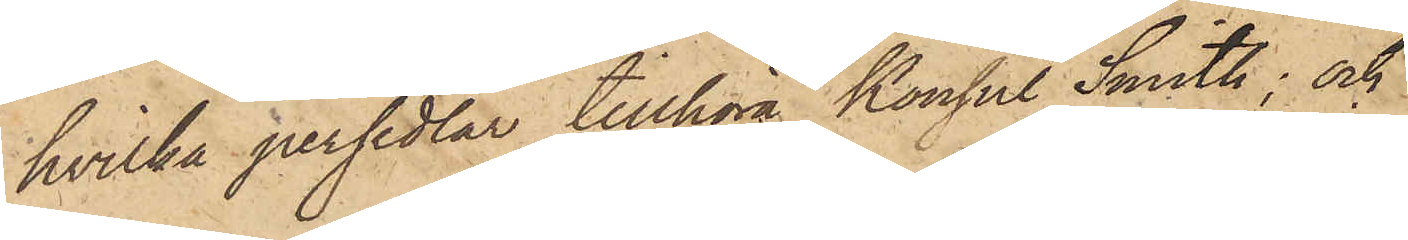hvilka persedlar tillhör Konsul Smith; och
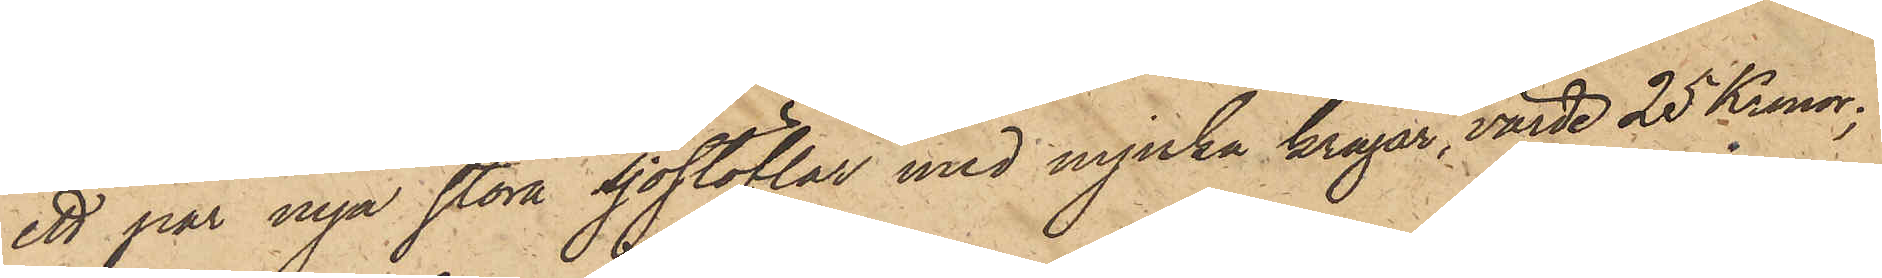ett par nya stora sjöstöflar med mjuka kragar, värde 25 Kronor;
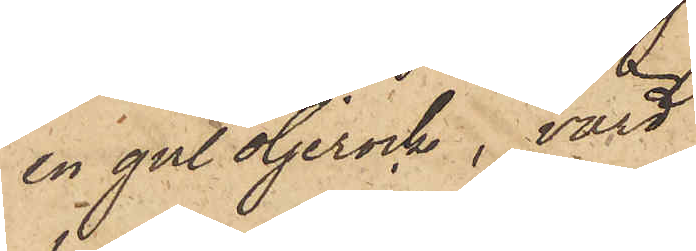en gul oljerock, värd
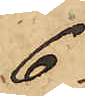6
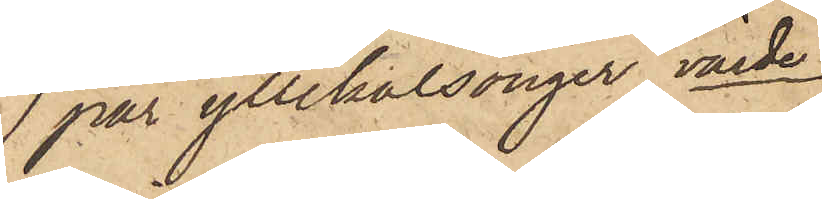1 par yllekalsonger, värde
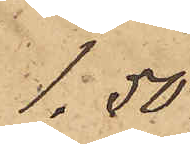1,50
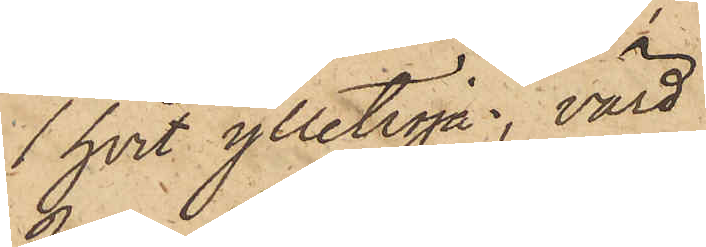1 hvit ylletröja, värd
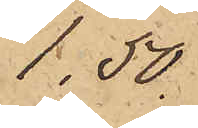1,50
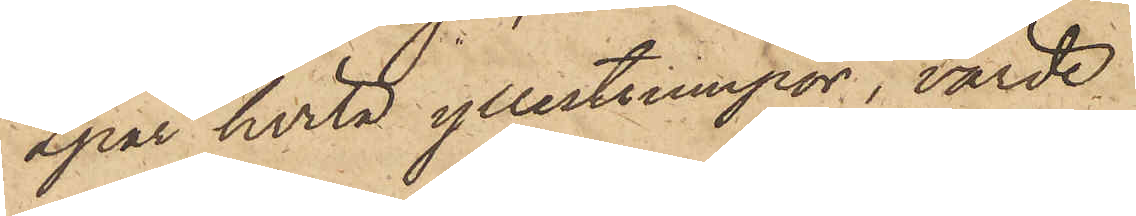2 par hvita yllestrumpor, värde
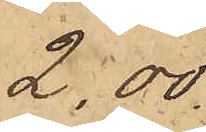2,00
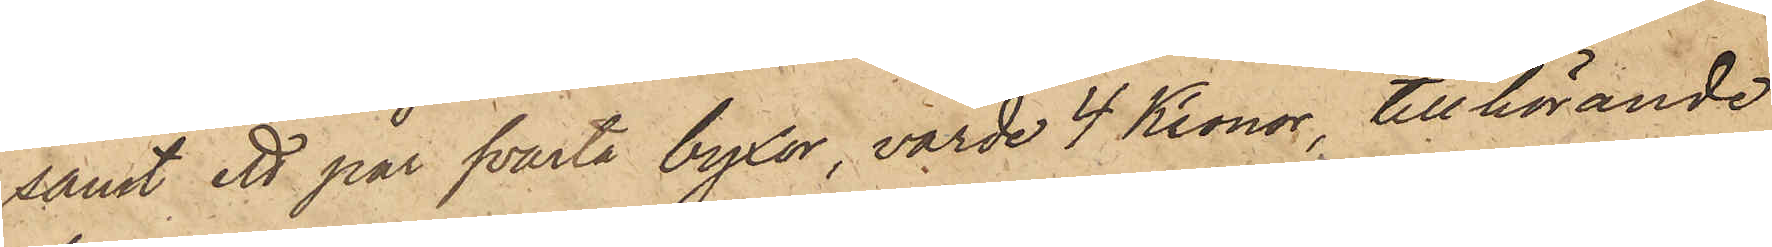samt ett par svarta byxor, värde 4 Kronor, tillhörande
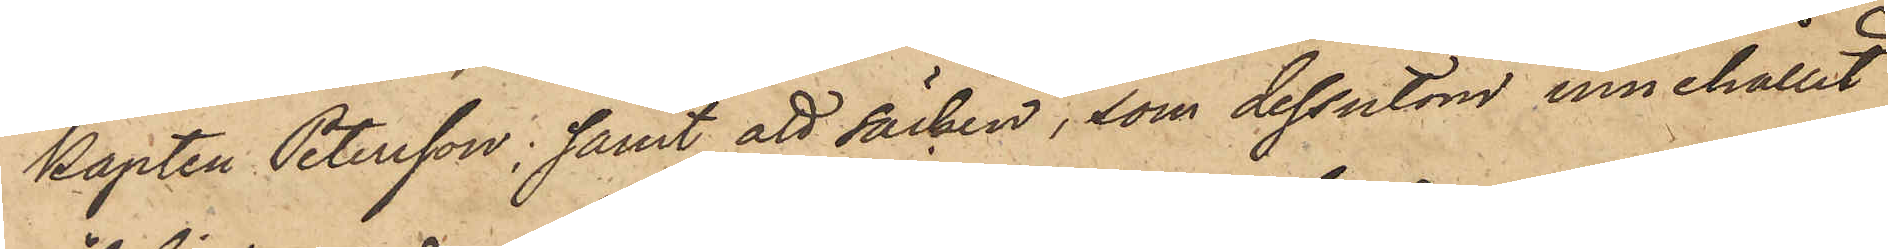kapten Petersson; samt att säcken, som dessutom innehållit
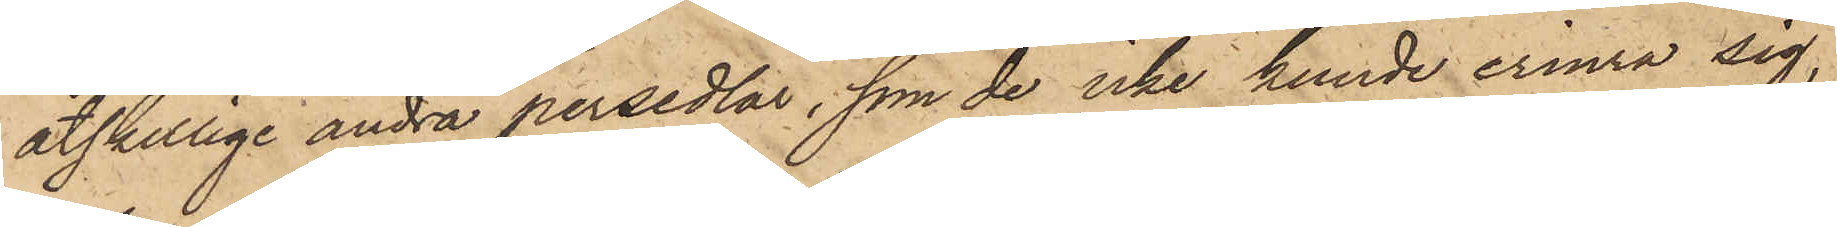åtskillige andra persedlar, som de icke kunde erinra sig,
